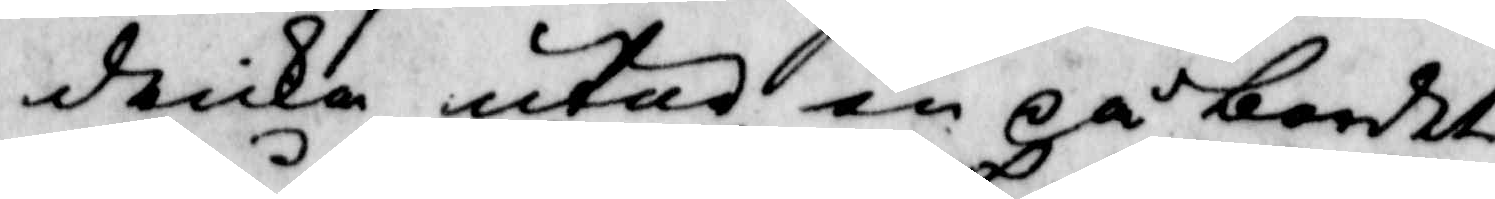dricka utur en på bordet
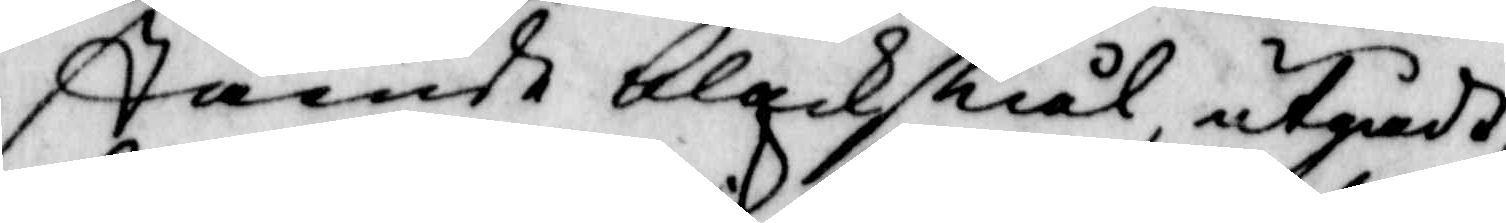stående bleckskiål, utgådh,
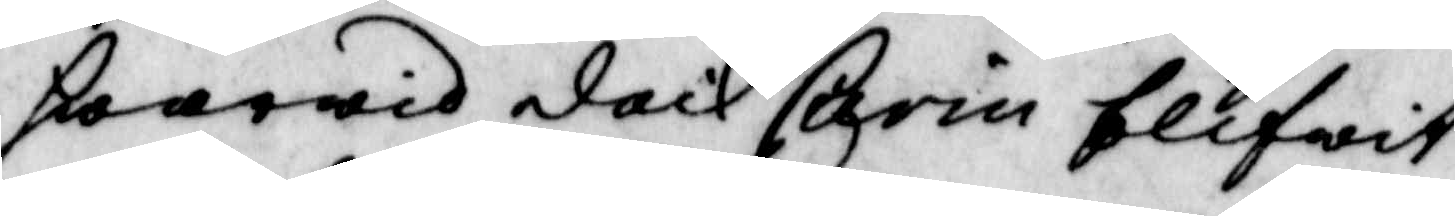hwarwid doch Carin blifwit
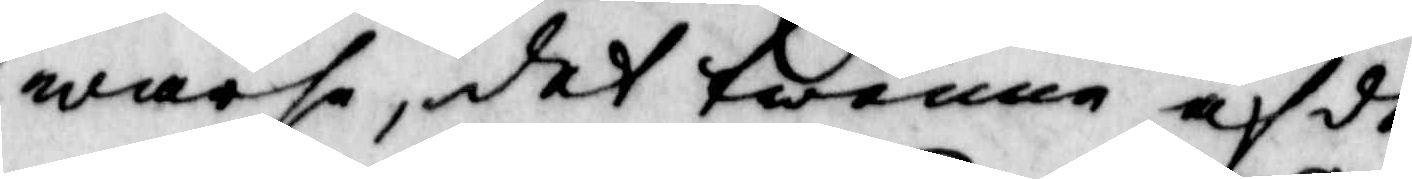warse, det twenne af de
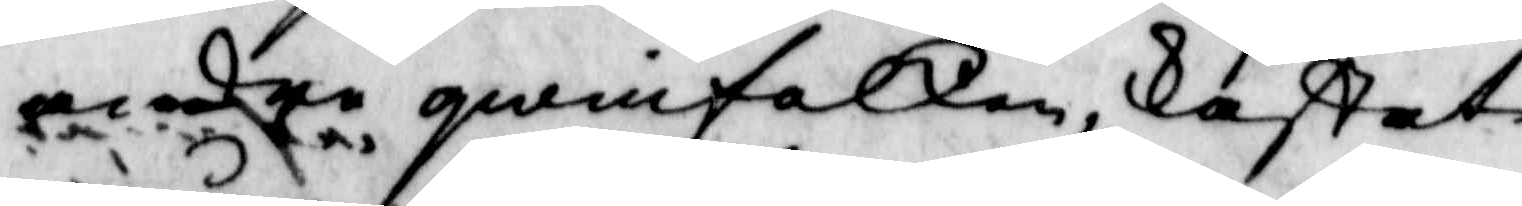andre qwinfolken, kastat
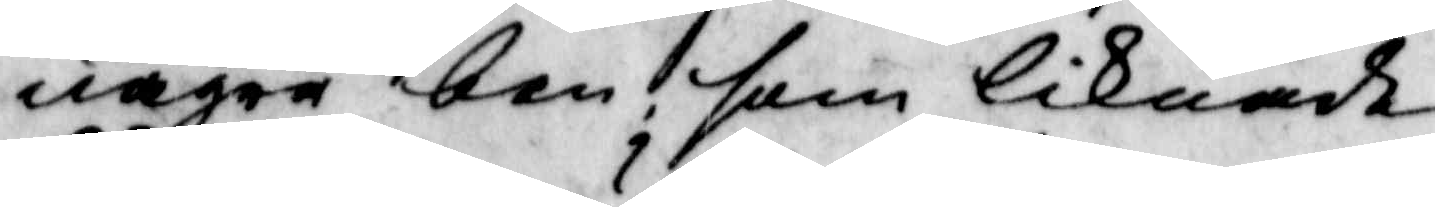några ben, som liknade
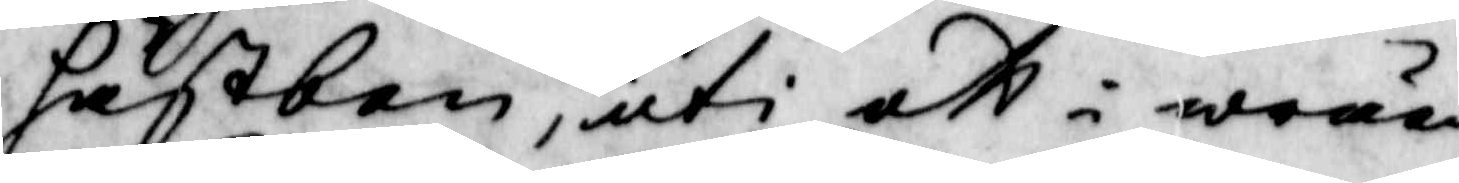hästben, uti ett i wråen
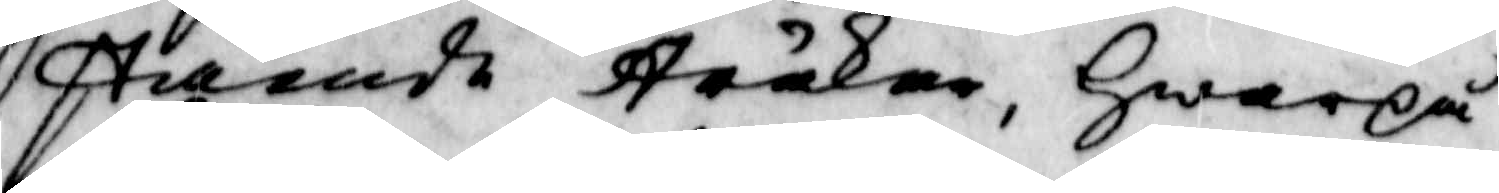stående stråkar, Hwarpå
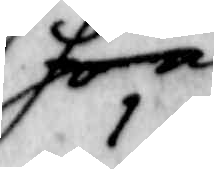hon 
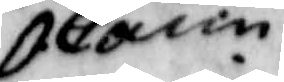Carin
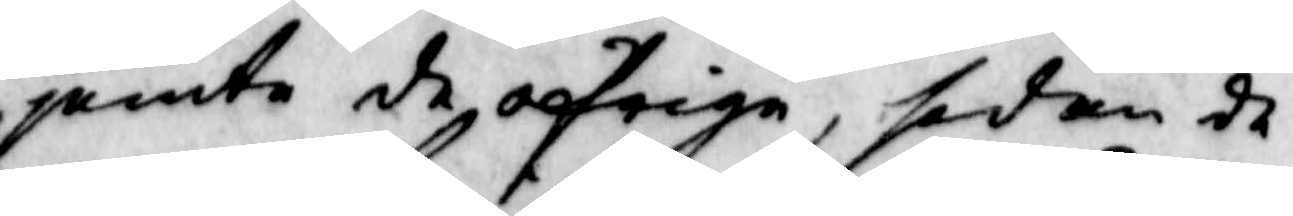jemte de öfrige, sedan de
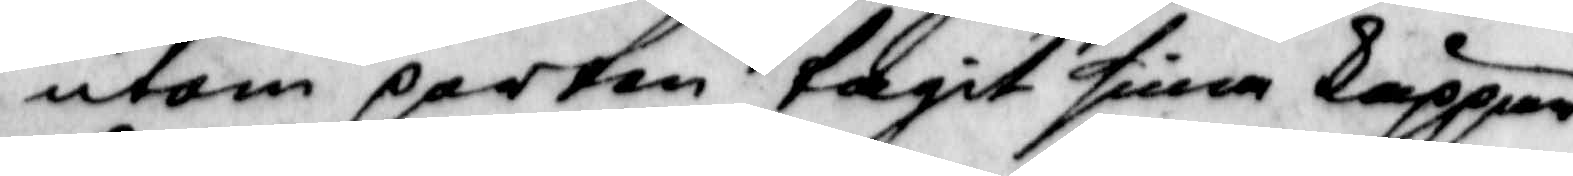utom porten tagit sine käppar
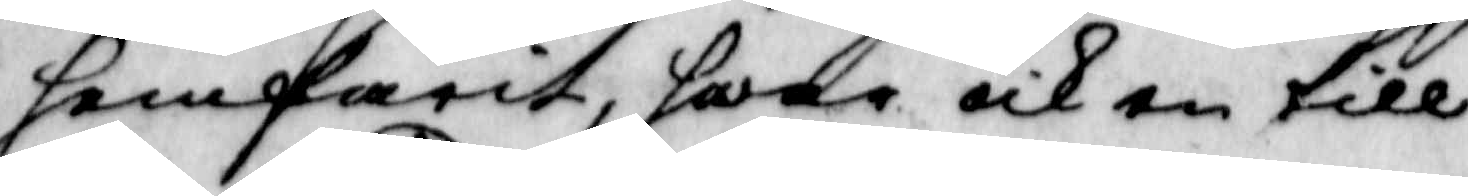hemfarit, hwar och en till
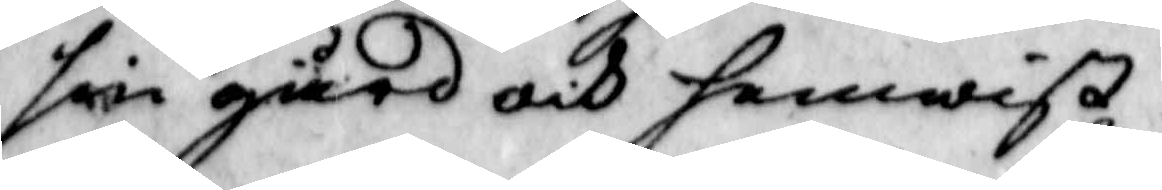sin gård och hemwist.
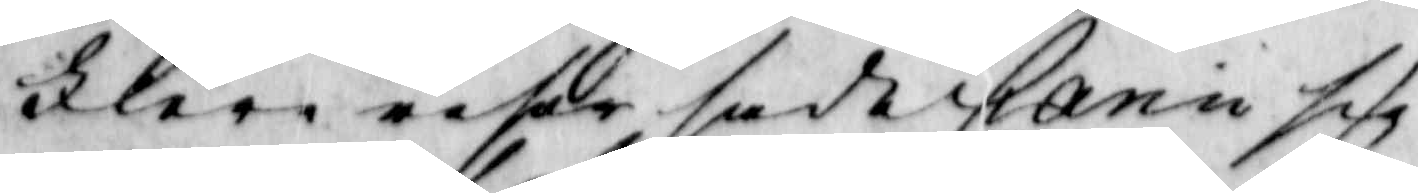Flere resor sade Carin sig
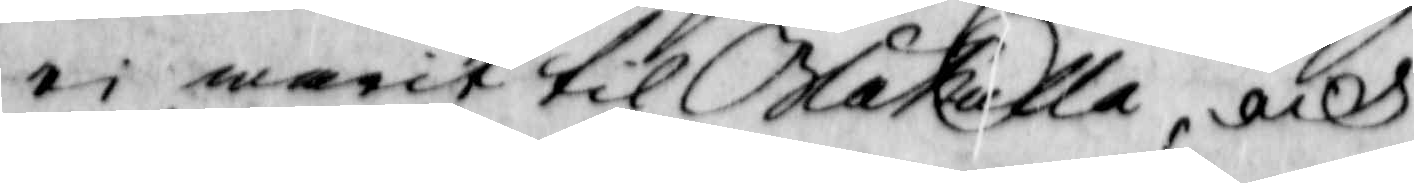ei warit til Blåkulla, och
